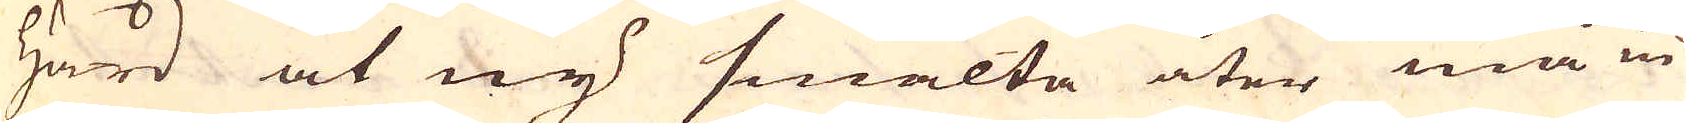härd at ny smälta åter må in
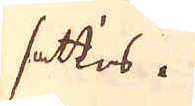sättas.
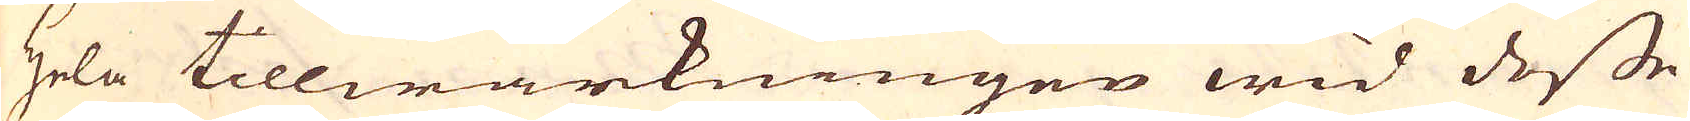hela tillwärkningen wid desse
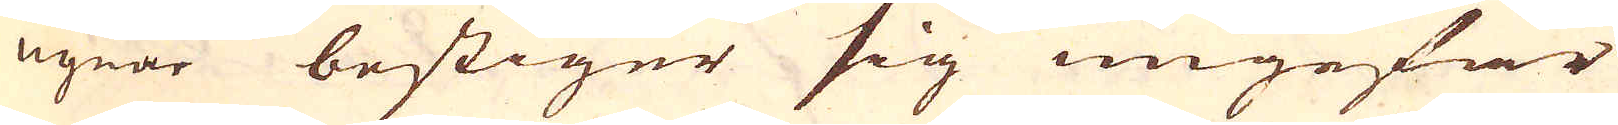ugnar bestiger sig ungefär
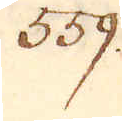559.
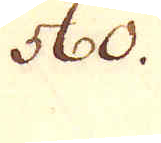560.
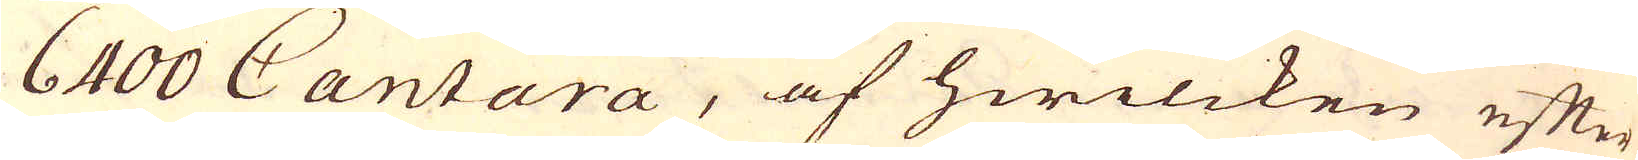6400 Cantara, af hwilcken efter
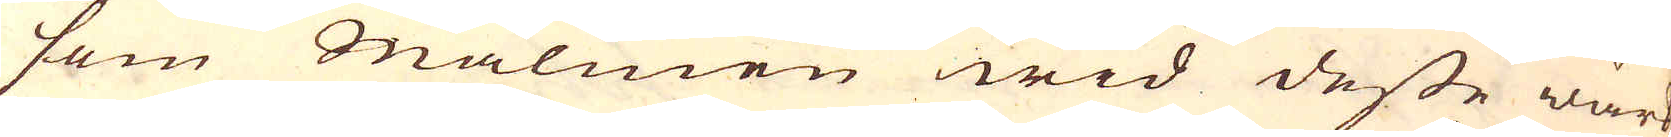som Malmen wid desse wärk
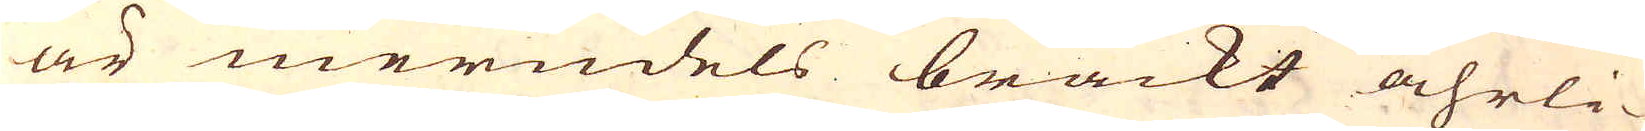är merndels brackt åhrli-
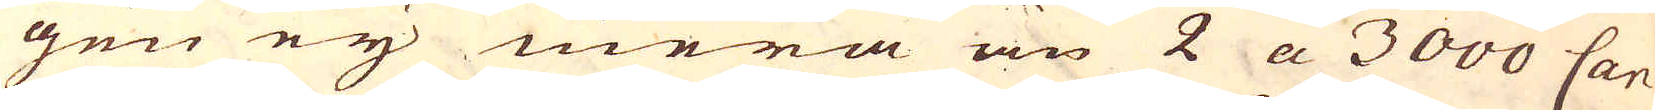gen eij mera än 2 a 3000 Can-
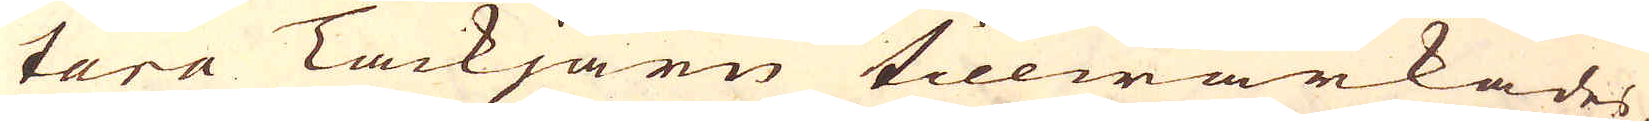tara Tackjärn tillwärkades
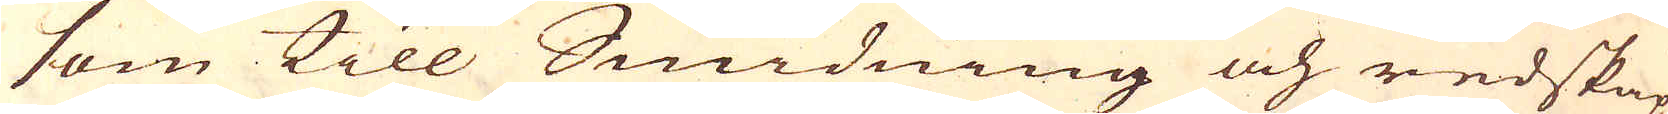som till Smidning och redskap
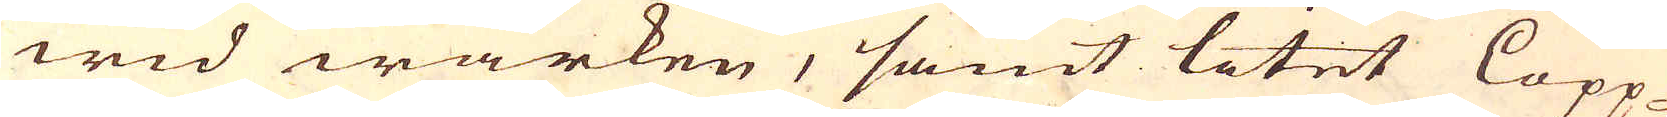wid wärken, samt litet Lopp-
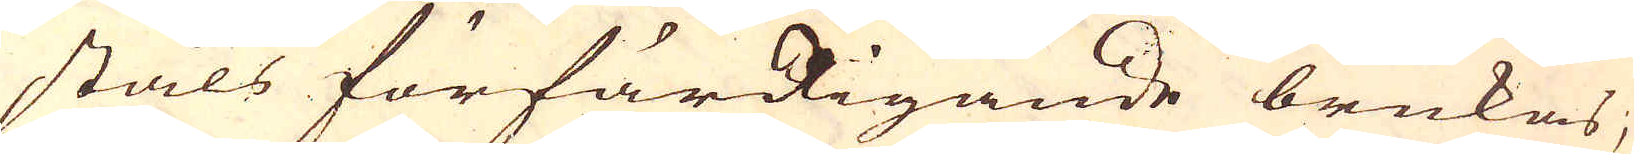ståls förfärdigande brukas,
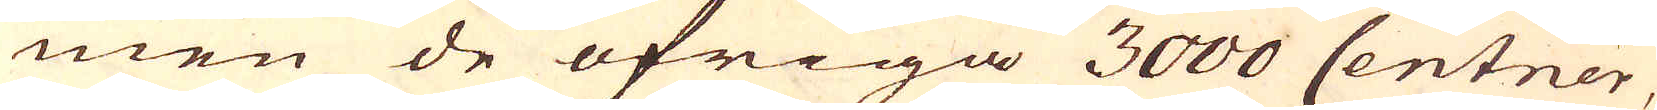men de öfriga 3000 Centner,
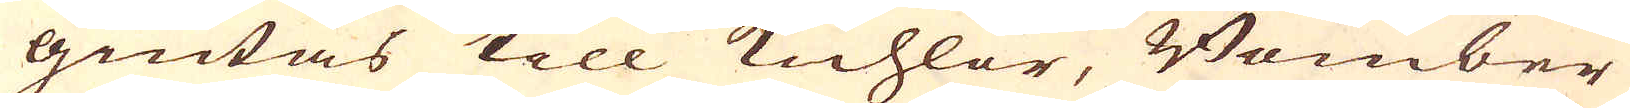giutas till Kuhlor, Bomber
